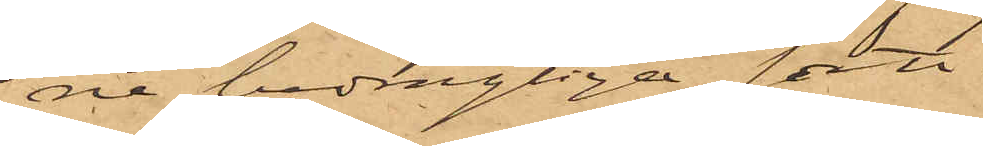ne bedreglige sätt.
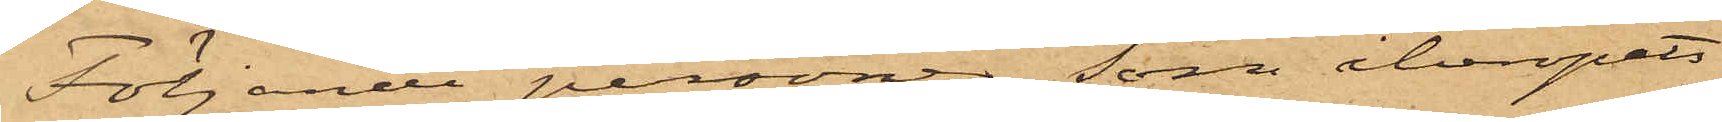Följande personer, som åberopats
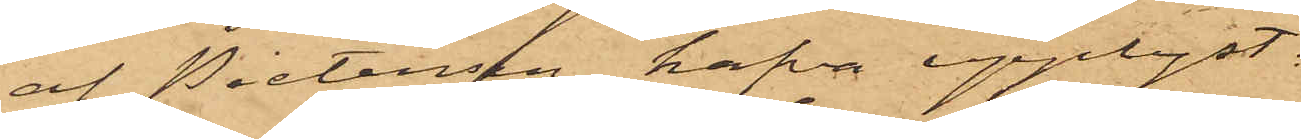af Pietersen, hafva upplyst:
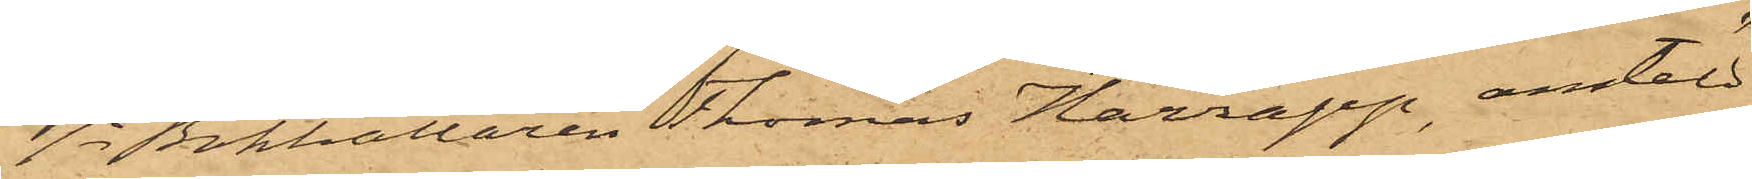1o Bokhållaren Thomas Harrapp, anstäld
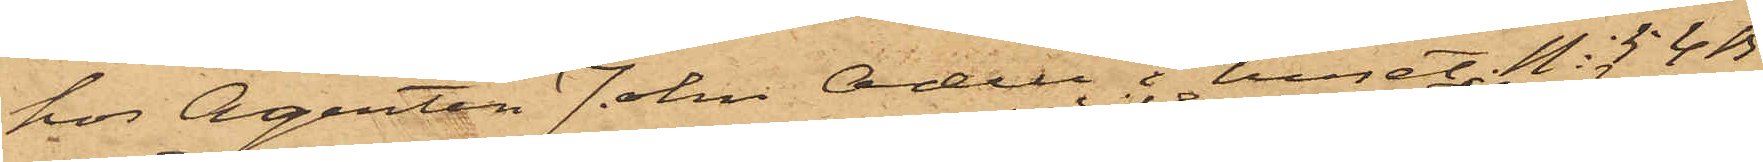hos Agenten John Odell i huset No 54B
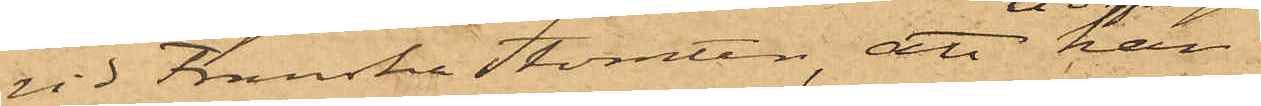vid Franska Tomten, att han
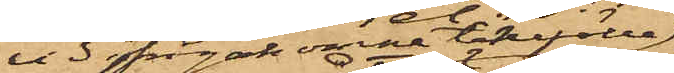vid frågakomne tillfälle
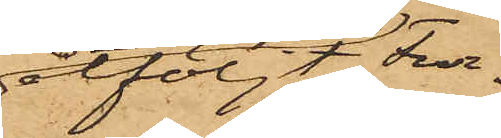åtföljt Fur¬
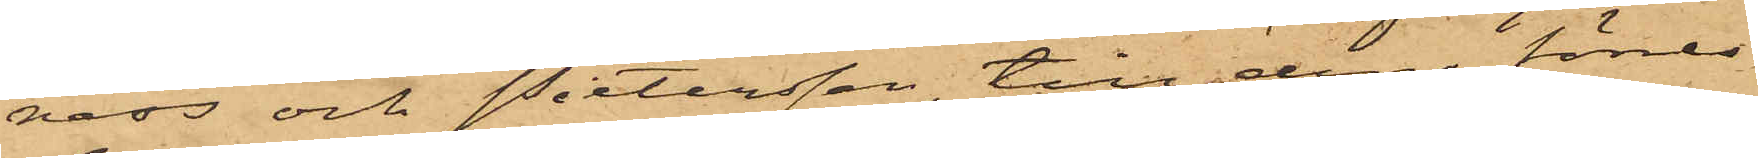 ness och Pietersen, till den förres
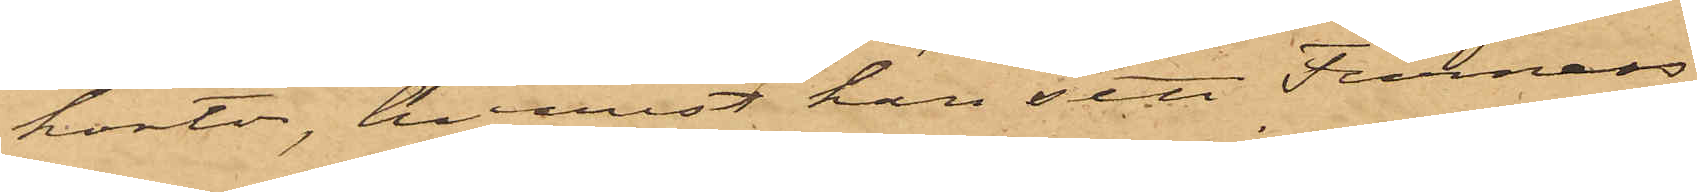kontor, hvarest han sett Furness
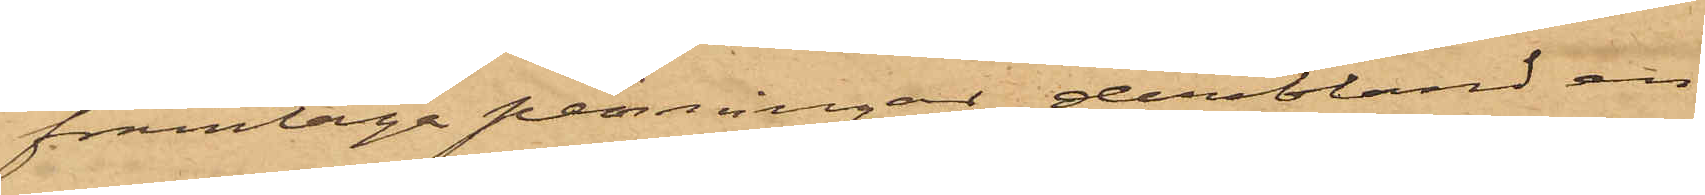framtaga penningar, deribland en
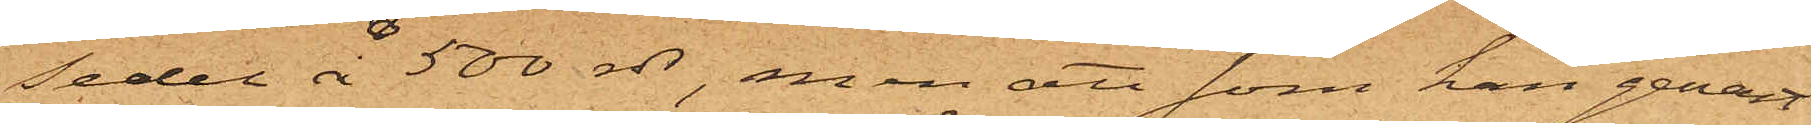sedel å 500 rdr, men att som han genast
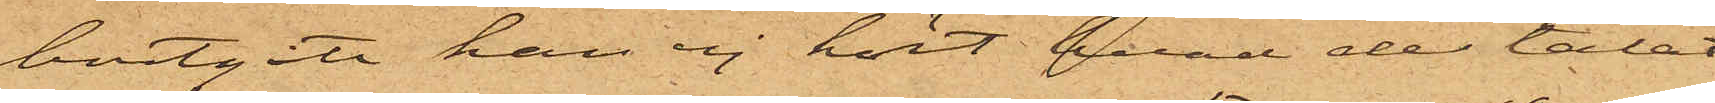bortgått han ej hört hvad de talat
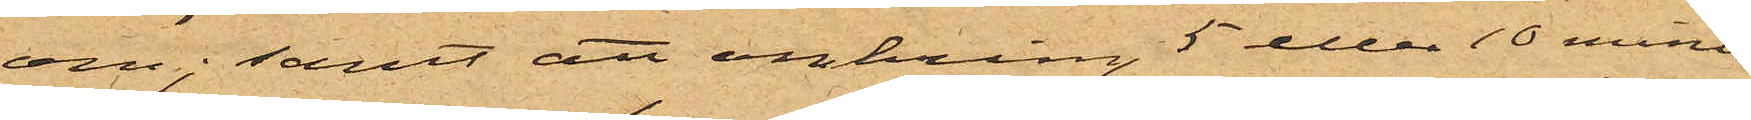om; samt att omkring 5 eller 10 minu¬
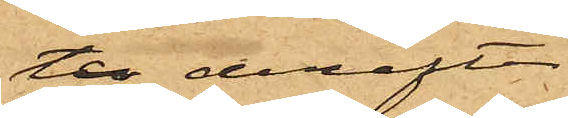ter derefter
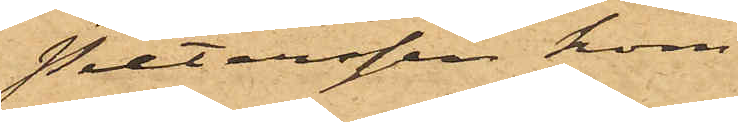Pietersen kom¬
